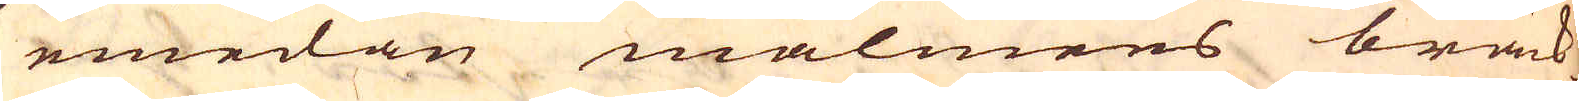emedan malmens bräck-
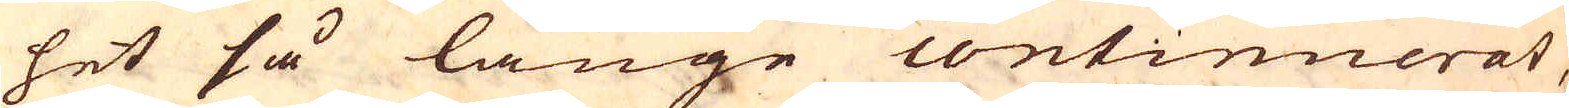het så länge continuerat,
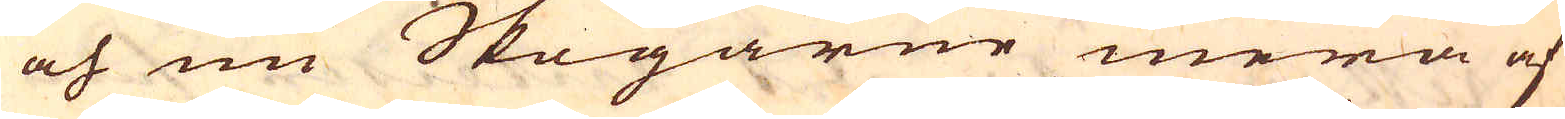och nu Skogarne mera af
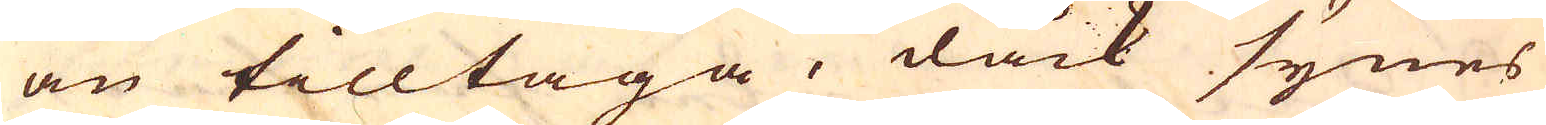än tilltaga, dåck synes
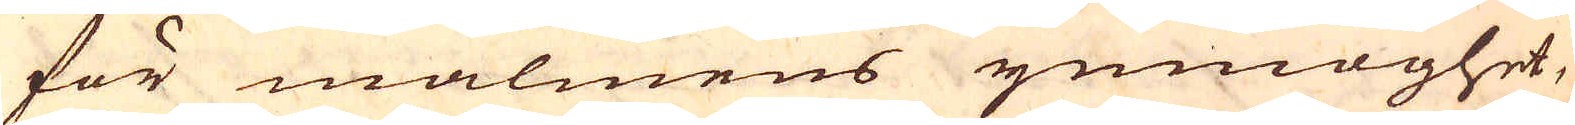för malmens ymnoghet,
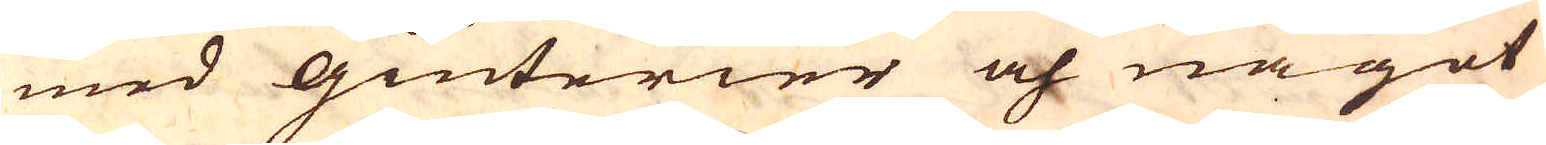med Giuterier och något
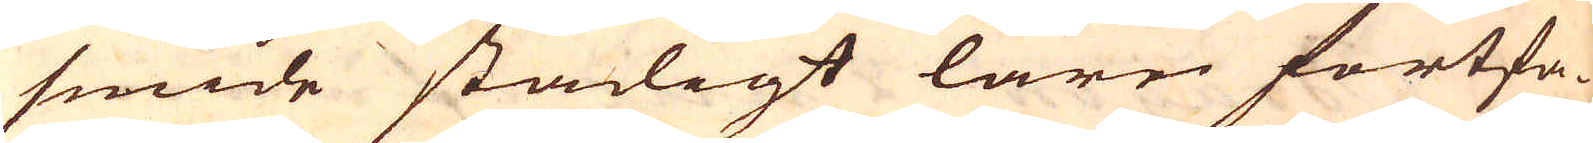smide stadigt larn fortfa-
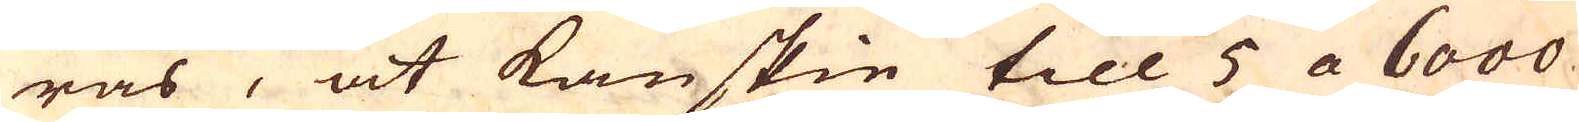ras, at kanskie till 5 a 6000
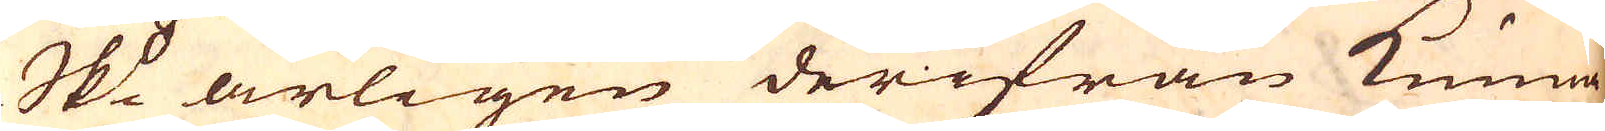Skpund årligen derifrån kunna
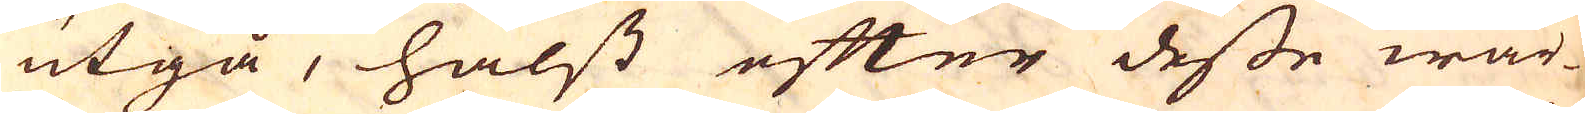utgå, hälst efter desse wär-
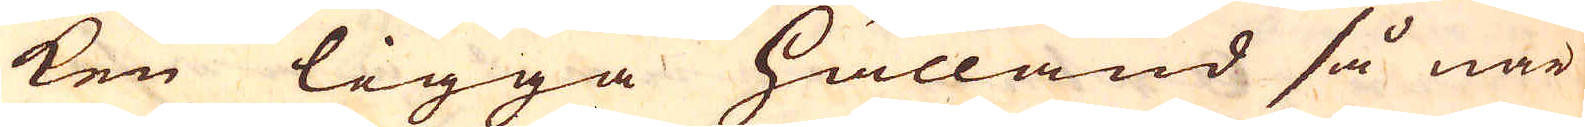ken ligga hålland så när
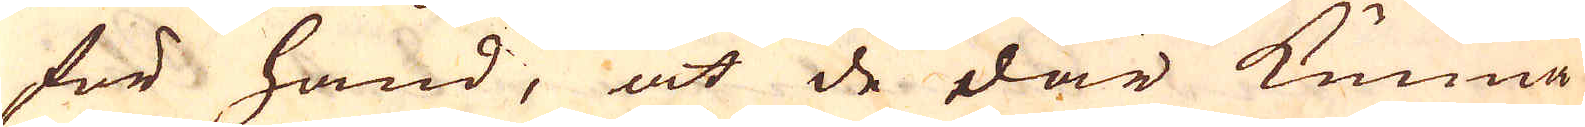för hand, at de där kunna
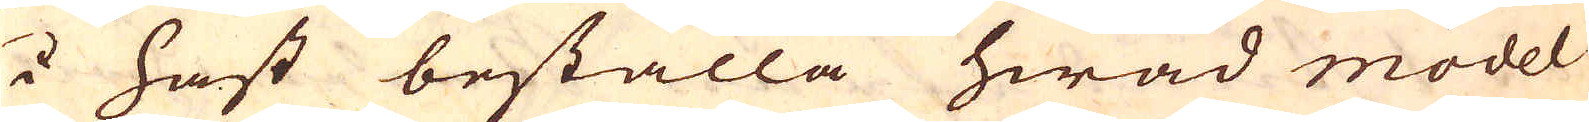i hast beställa hwad model
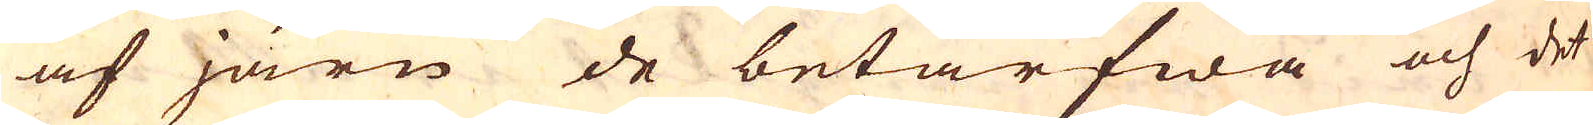af järn de betarfwa och det
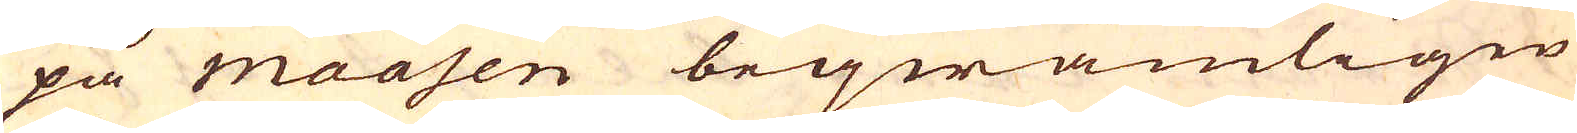på maasen beqwämligen
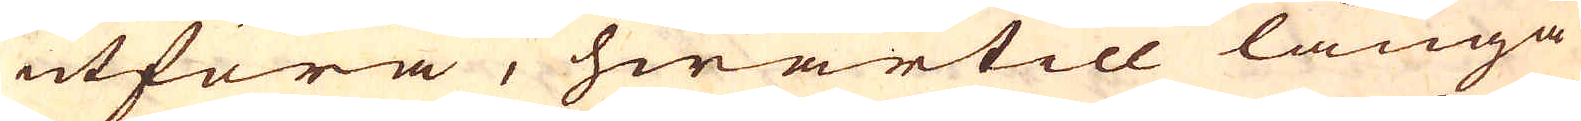utföra, hwartill långa
